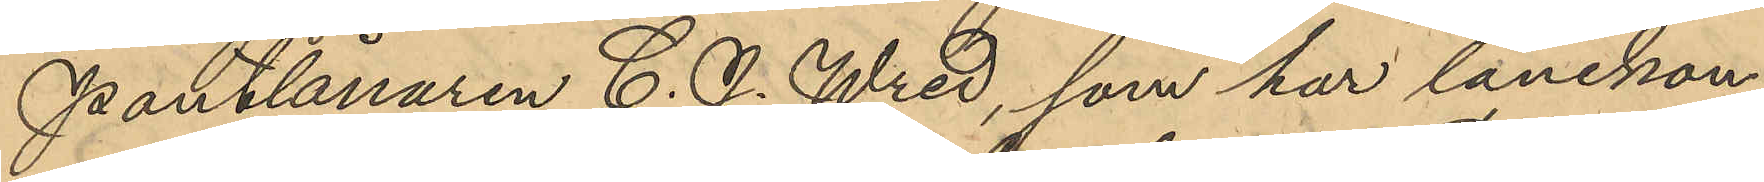Pantlånaren C. J. Wred, som har lånekon¬
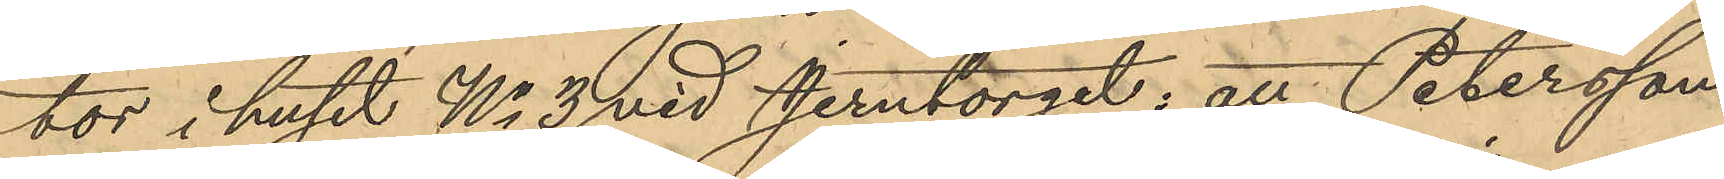tor i huset No 3 vid Jerntorget; att Petersson
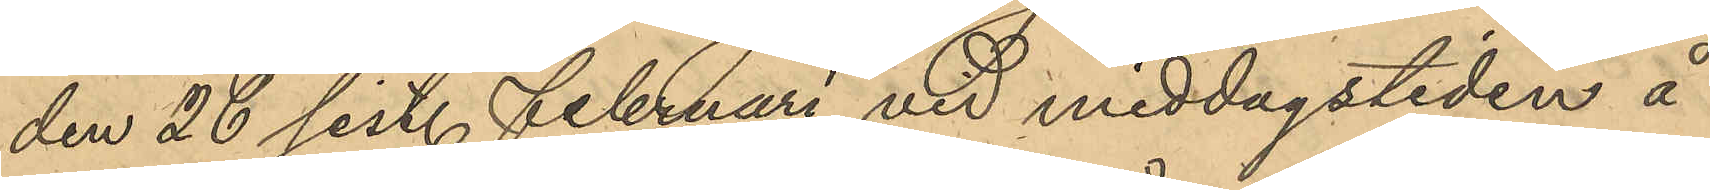den 26 sist. Februari vid middagstiden å
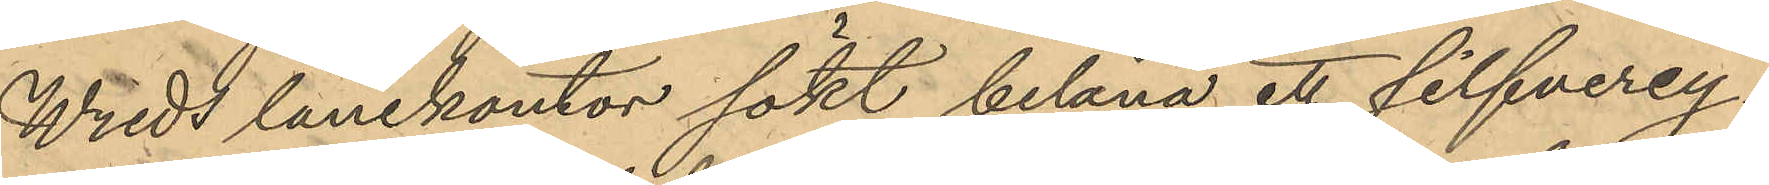Wreds lånekontor sökt belåna ett silfvercy¬
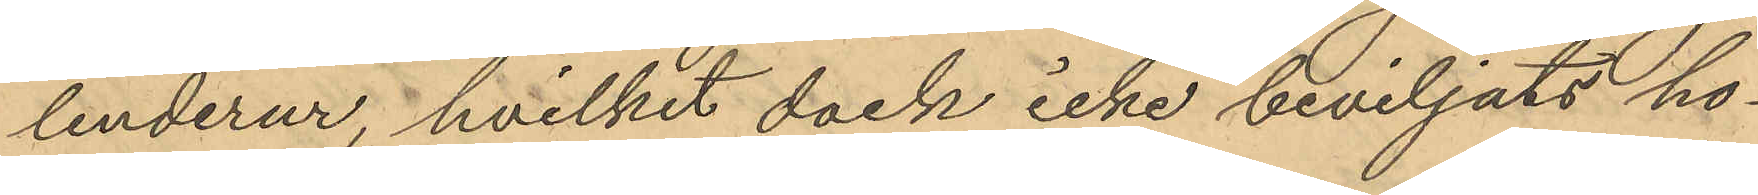linderur, hvilket dock icke beviljats ho¬
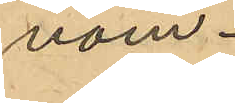nom.
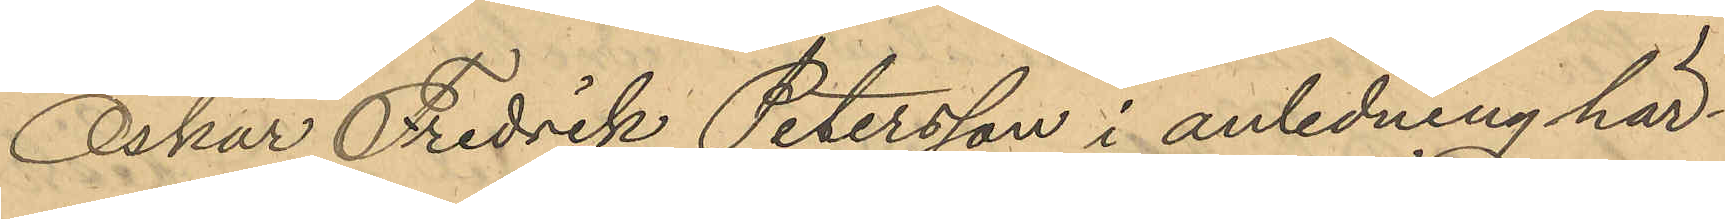Oskar Fredrik Petersson i anledning här¬
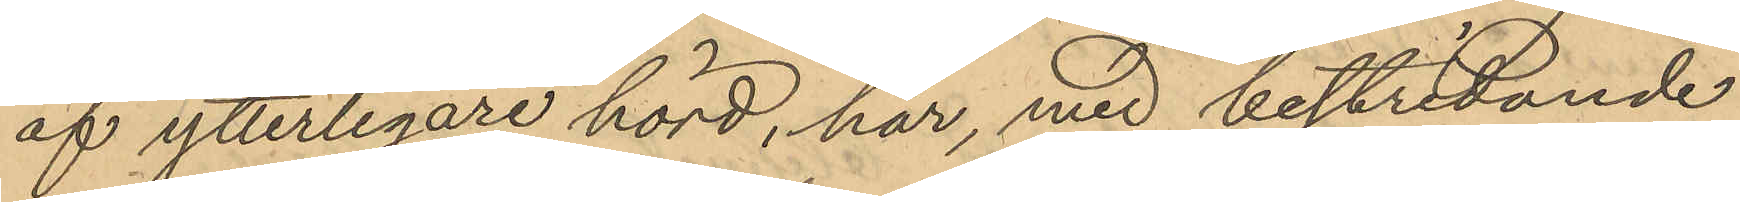af ytterligare hörd, har, med bestridande
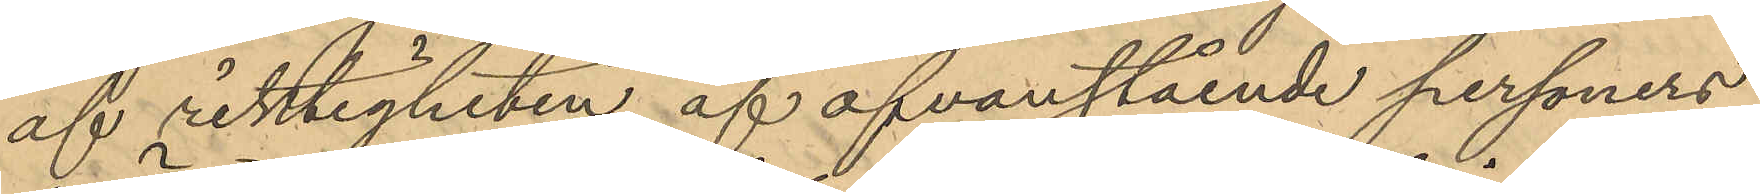af riktigheten af ofvanstående personers
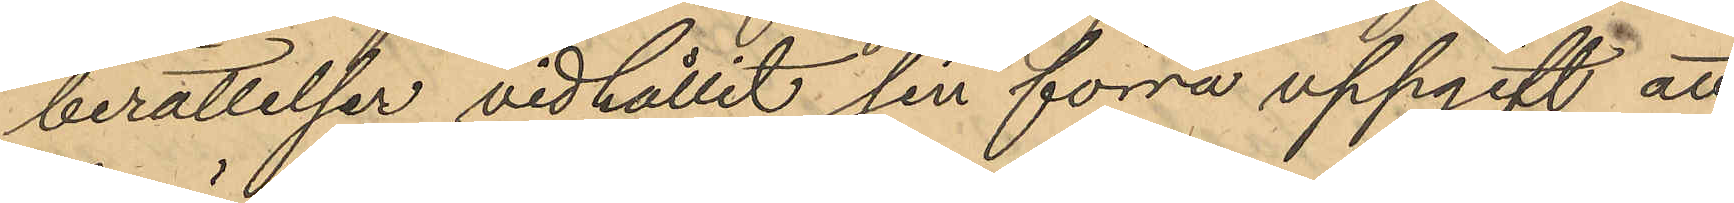berättelser vidhållit sin förra uppgift att
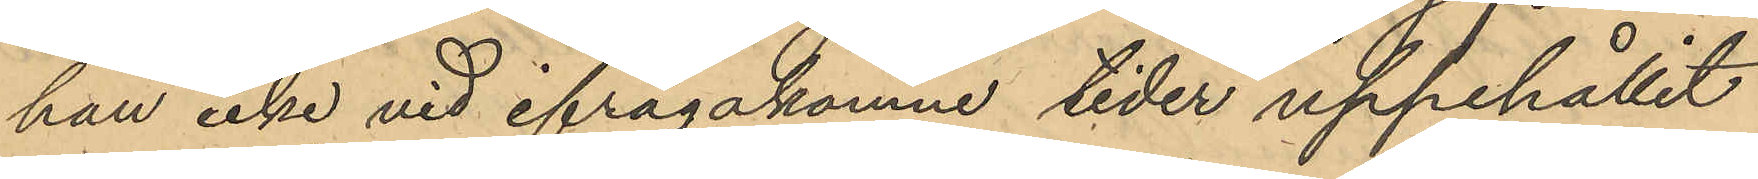han icke vid ifrågakomne tider uppehållit
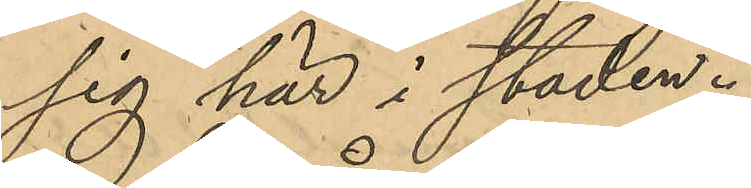sig här i staden.
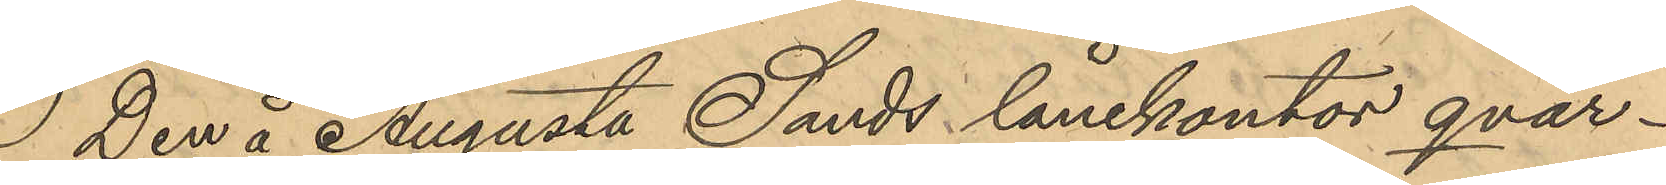Den å Augusta Sands lånekontor qvar¬
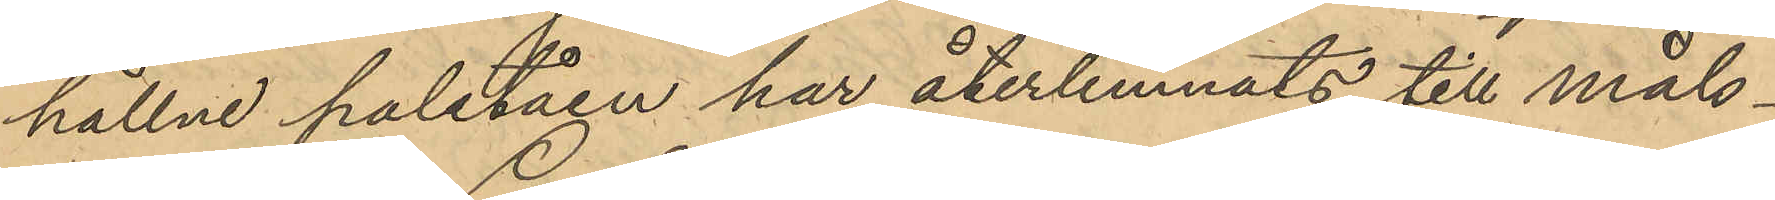hållne paletåen har återlemnats till måls¬
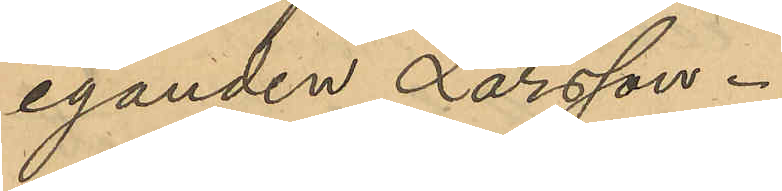eganden Larsson.
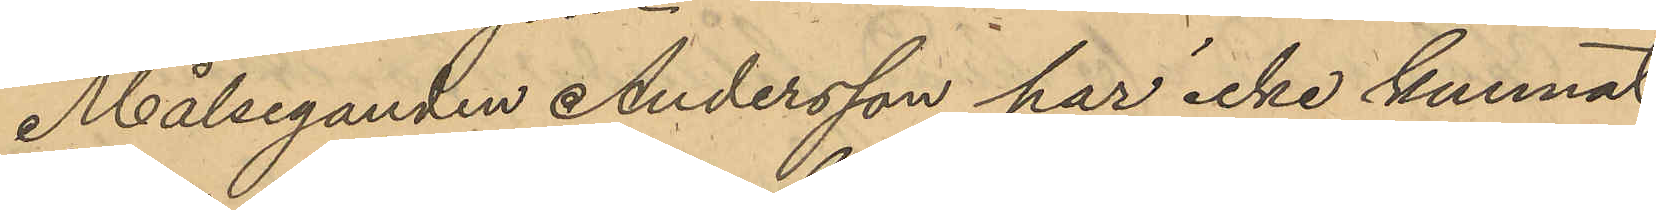Målseganden Andersson har icke kunnat
